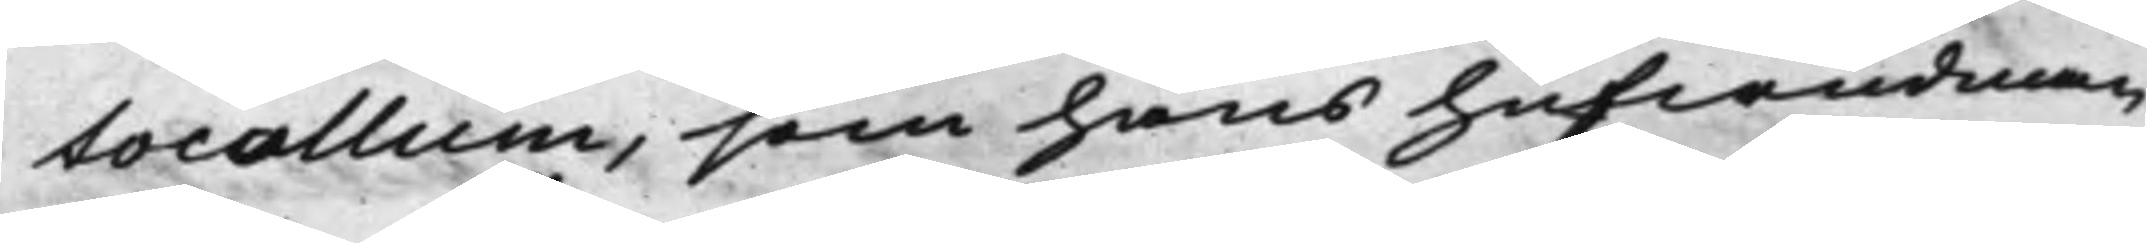tocollum, som hans hufwudman
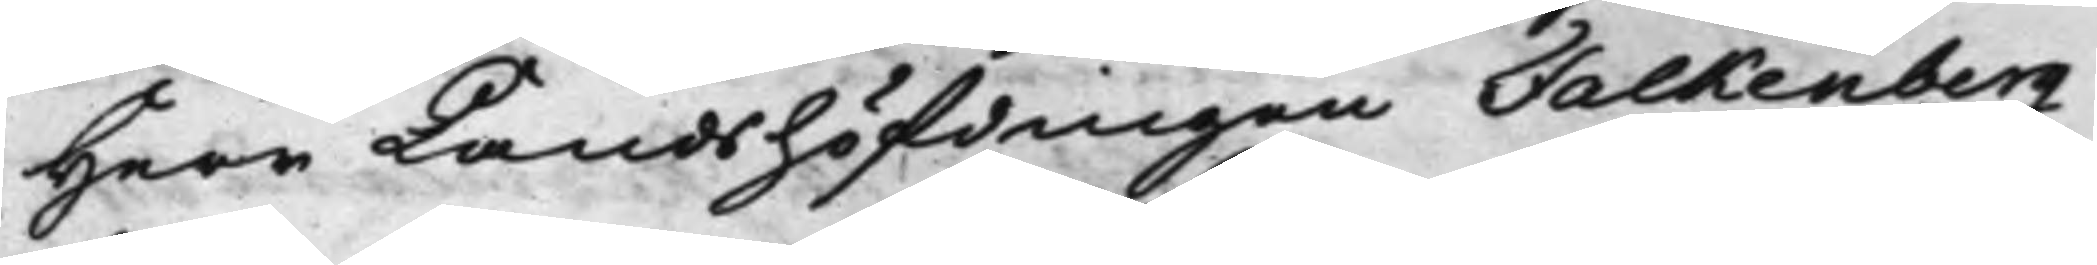Herr Landshöfdingen Falkenberg
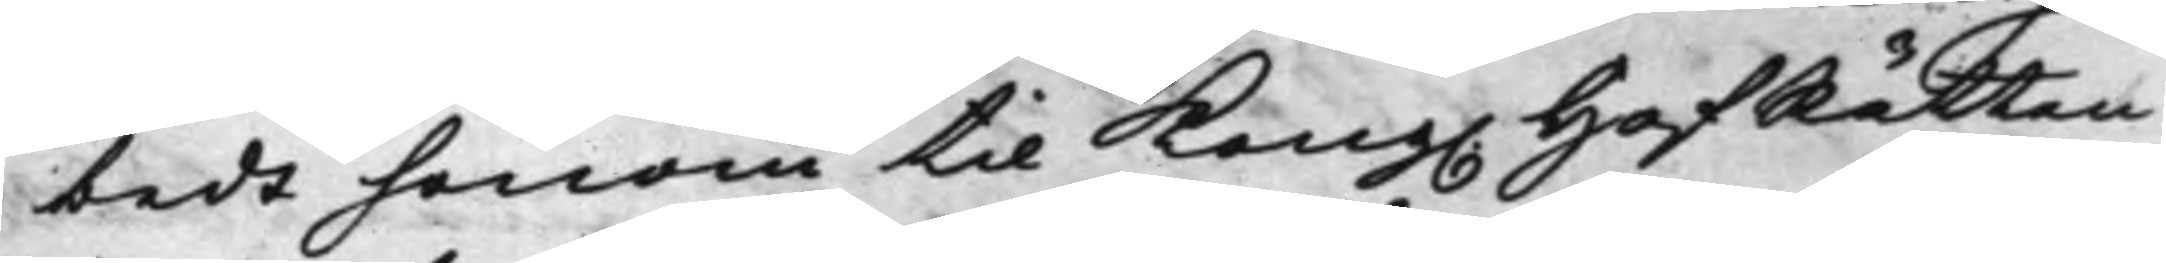bedt honom til Kong. HofRätten
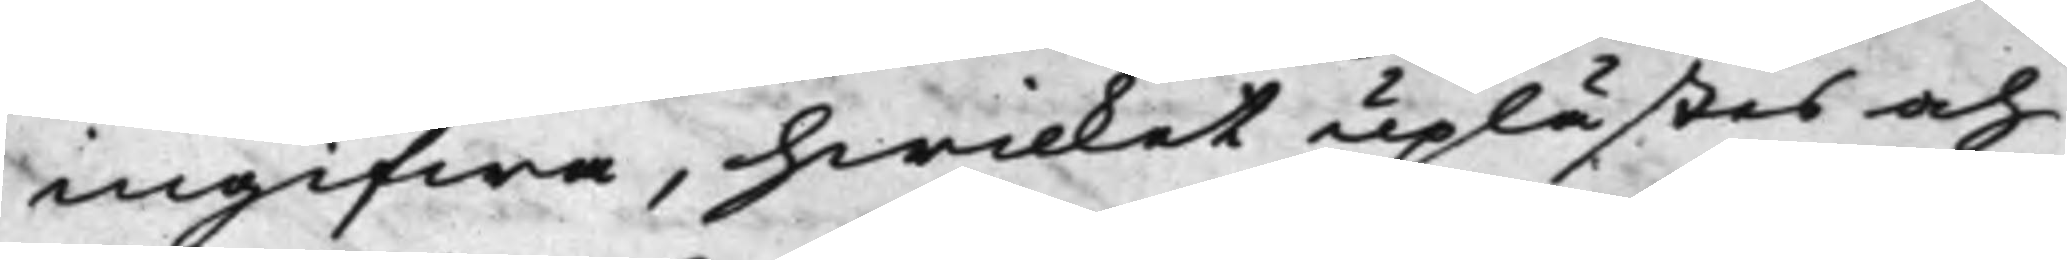ingifwa, hwilket uplästes och
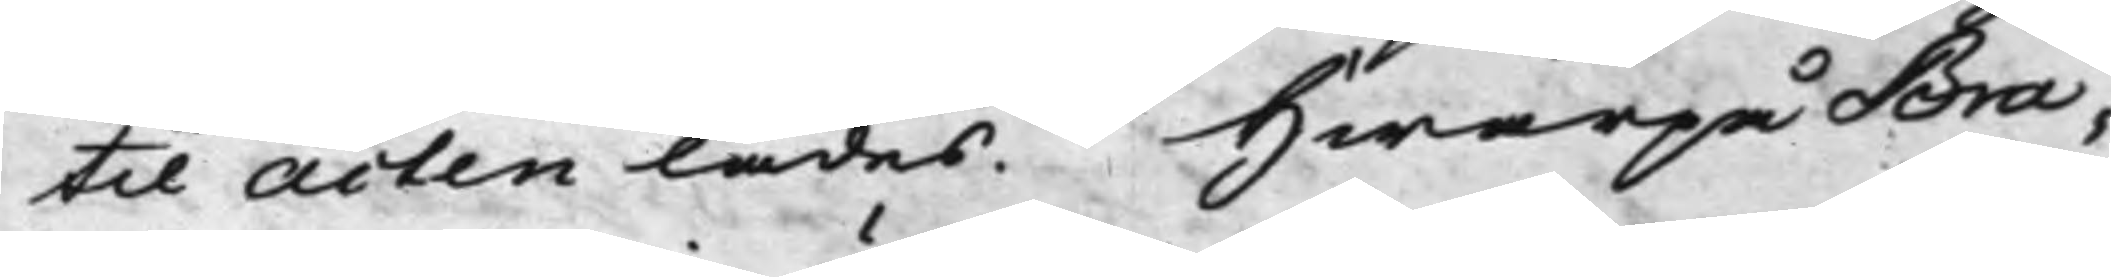til Acten lades. Hwarpå Bra¬
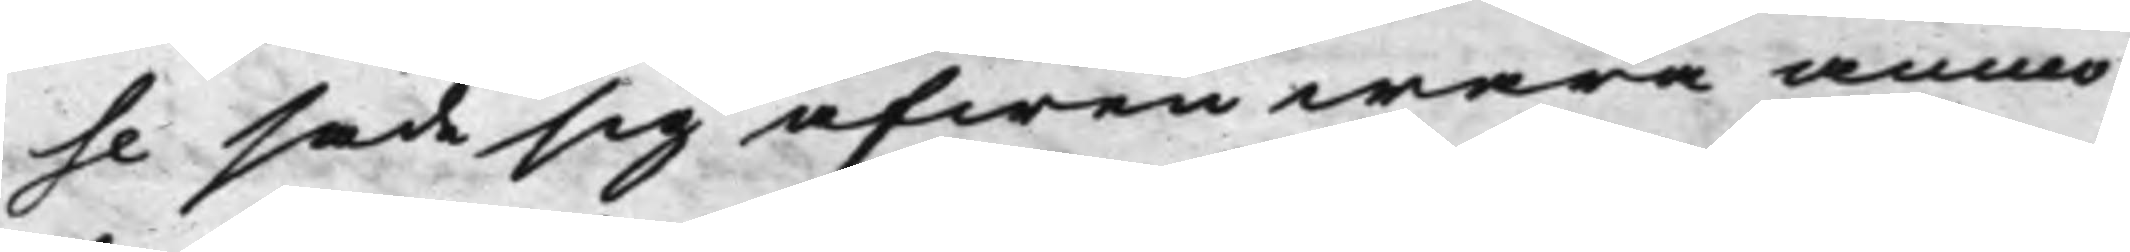se sade sig äfwen wara anmo¬
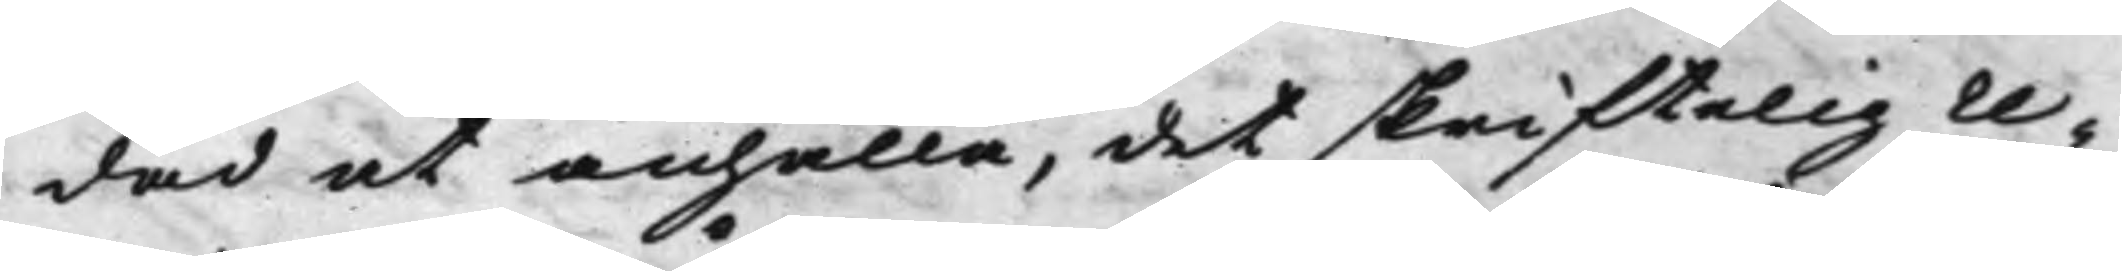dad at anhålla, det skriftelig re¬
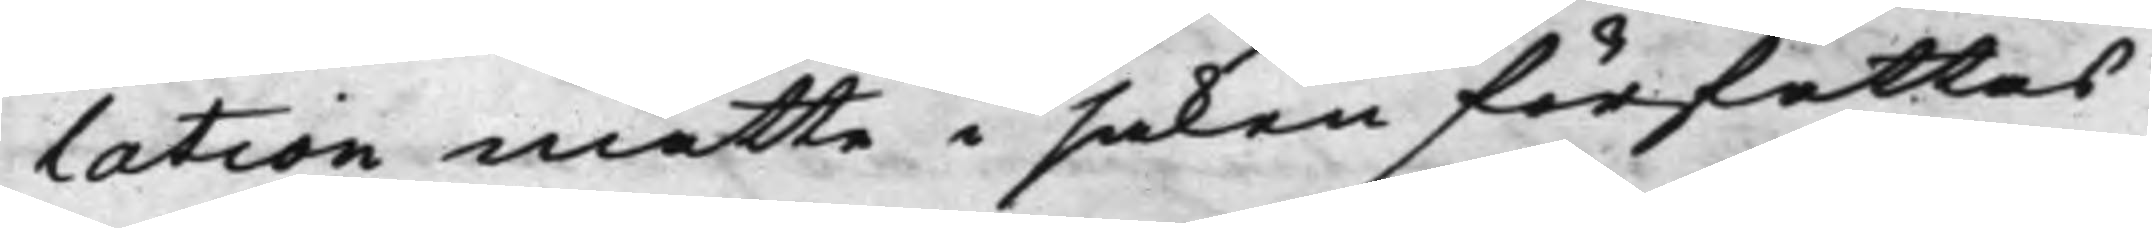lation måtte i saken författas
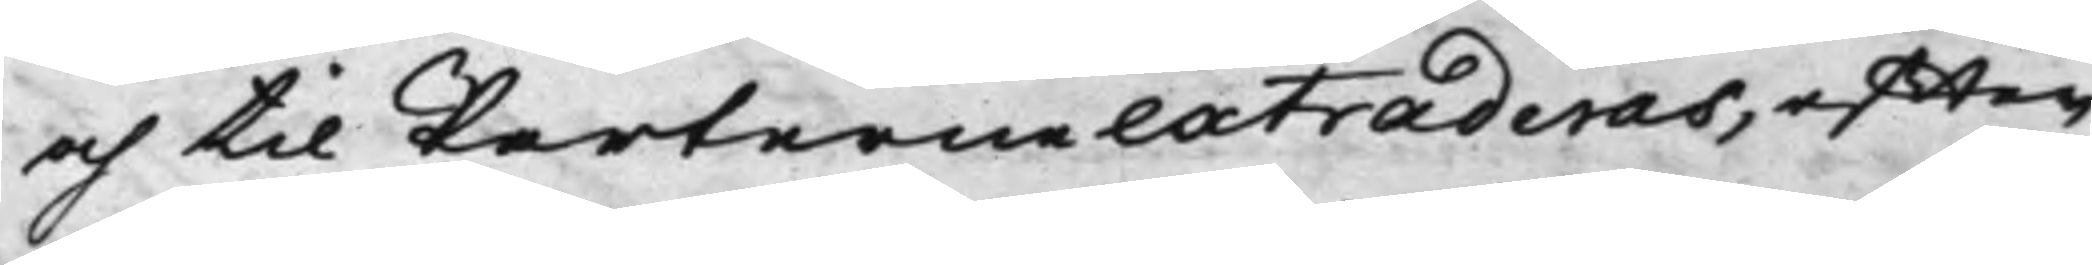och til Parterne extraderas, effter
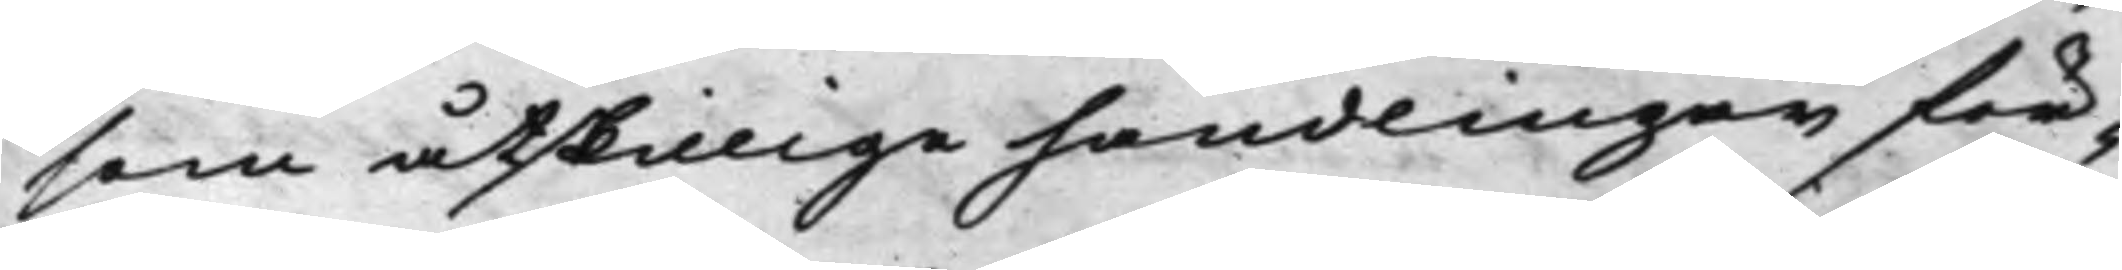som åtskillige handlingar för¬
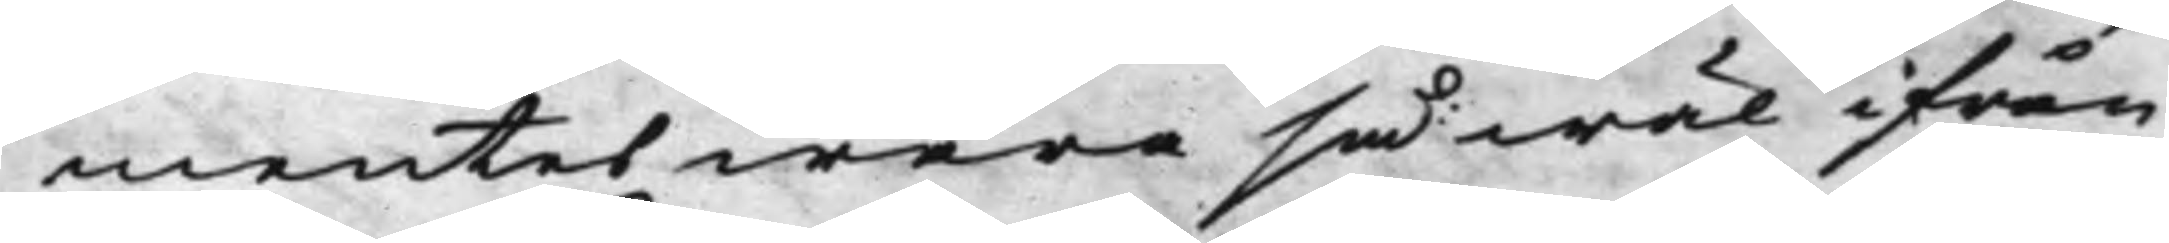mentes wara så wäl ifrån
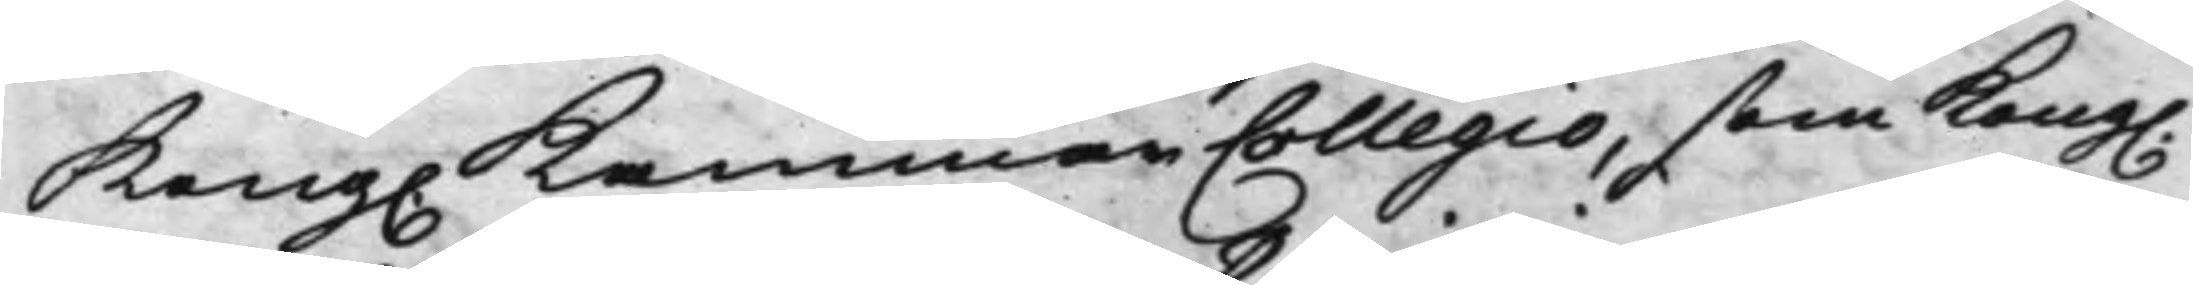Kong. KammarCollegio, som Kong.
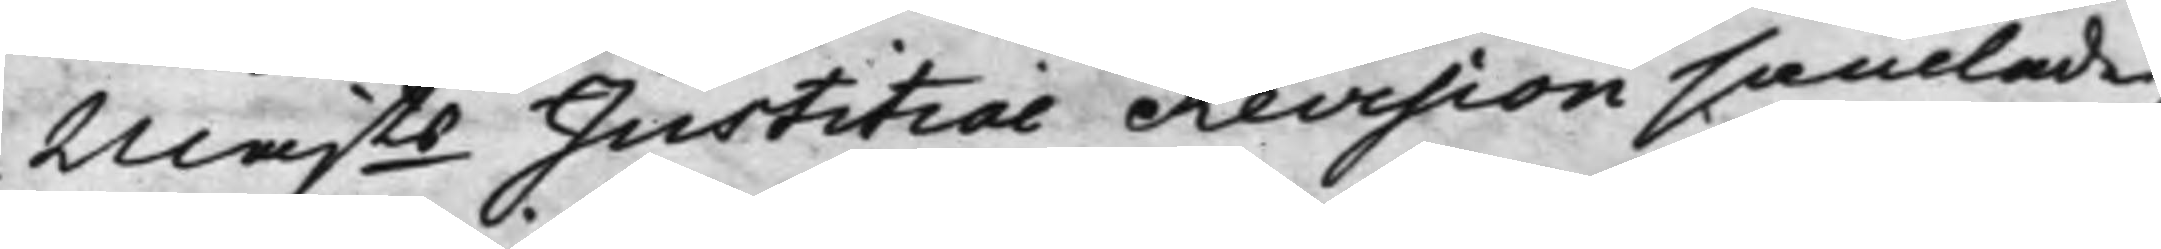Majts Justitiae Revision samlade,
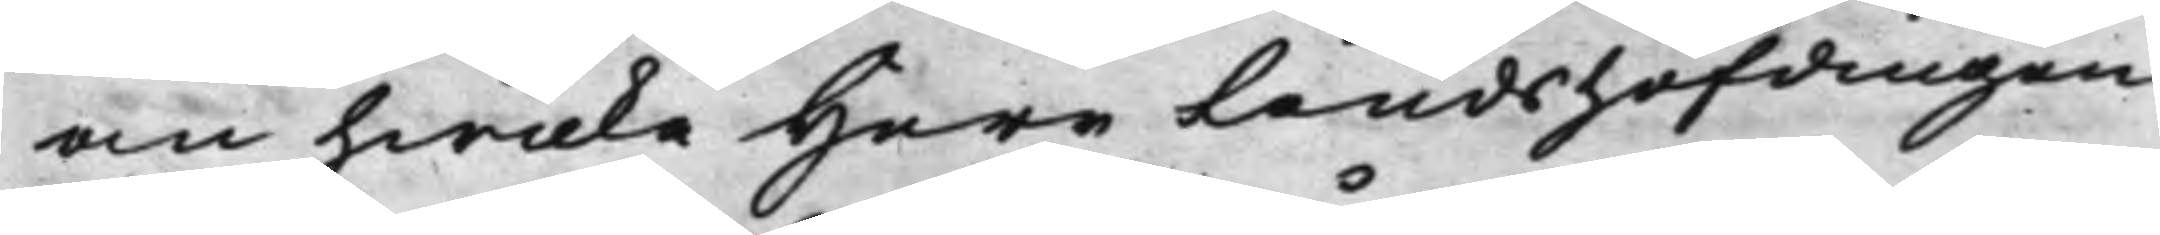om hwilka Herr Landshöfdingen
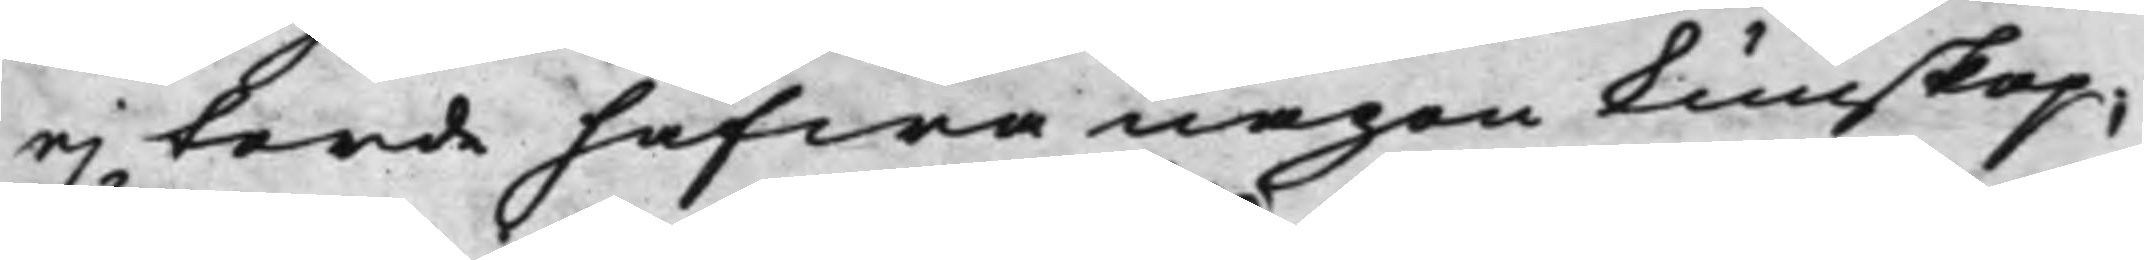ej torde hafwa någon kunskap;
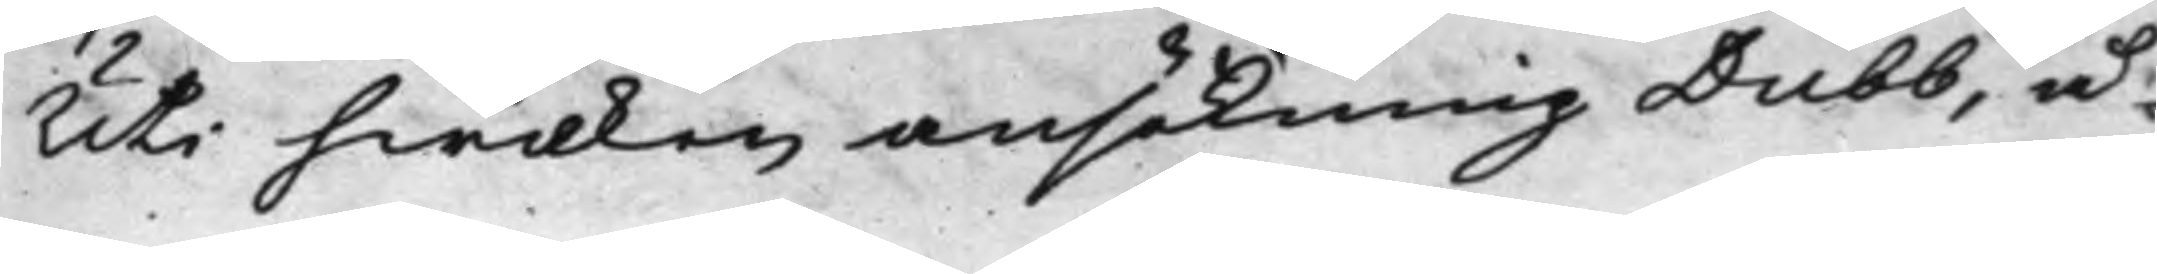Uti hwilken ansökning Dubb, å
